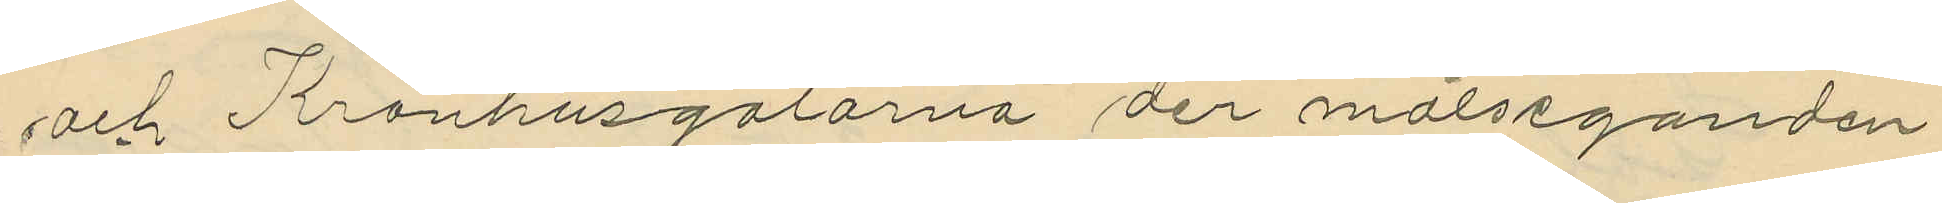och Kronhusgatorna der målseganden
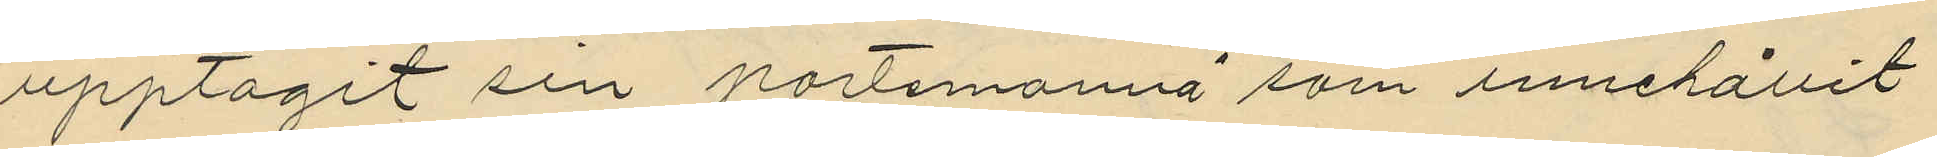upptagit sin portmonnä som innehållit
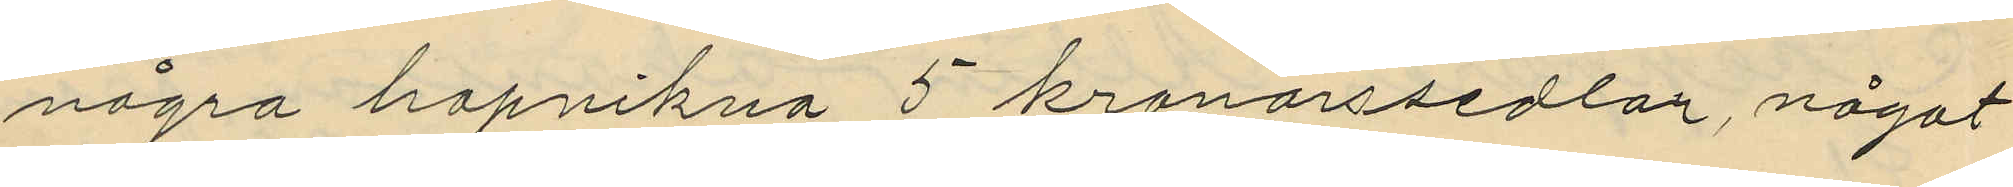några hopvikna 5 kronorssedlar, något
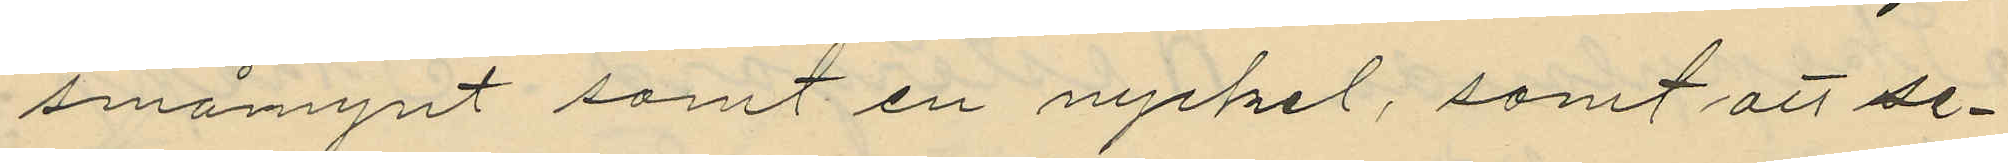småmynt samt en nyckel, samt att se¬
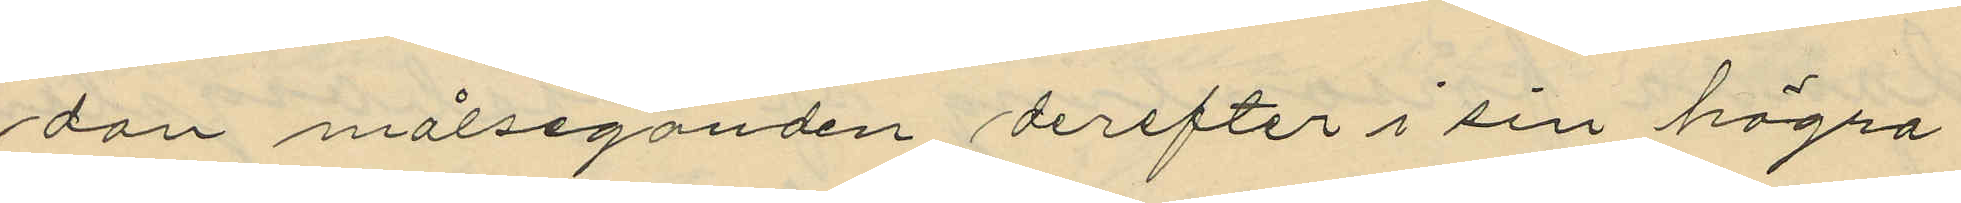dan målseganden derefter i sin högra
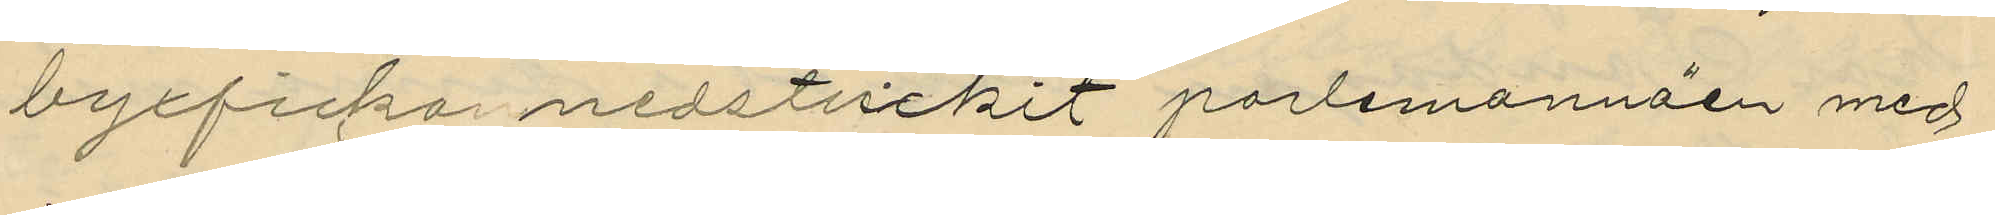byxfickar nedstuckit portmonnäen med
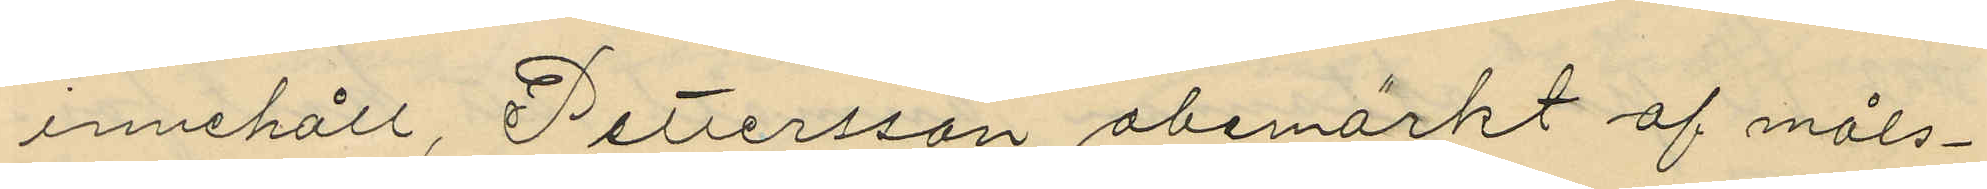innehåll, Pettersson obemärkt af måls¬
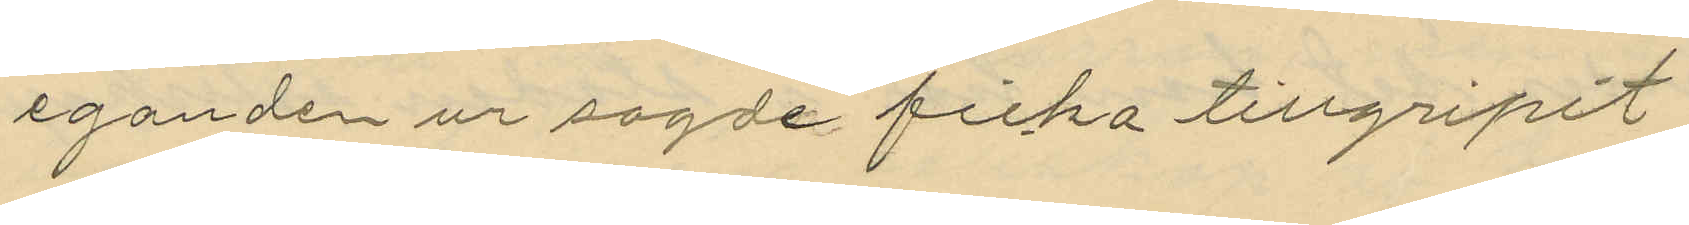eganden ur sagde ficka tillgripit
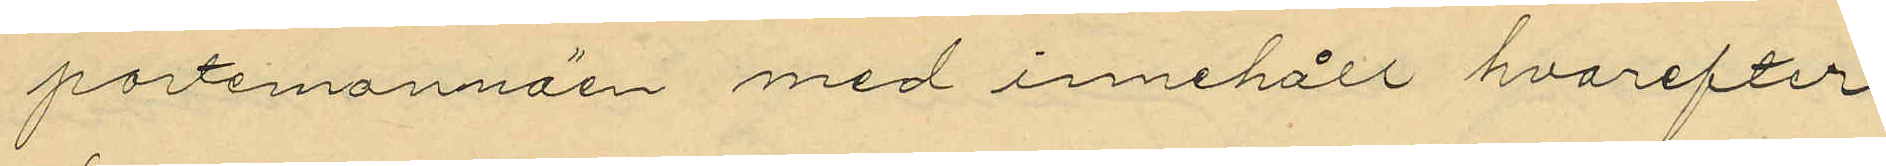portmonnäen med innehåll hvarefter
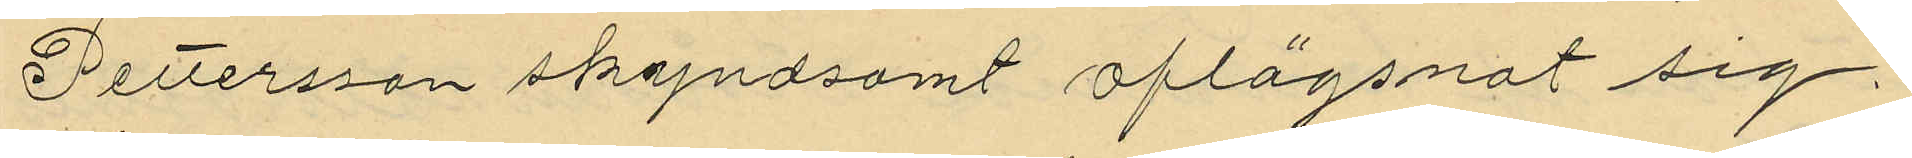Pettersson skyndsamt aflägsnat sig
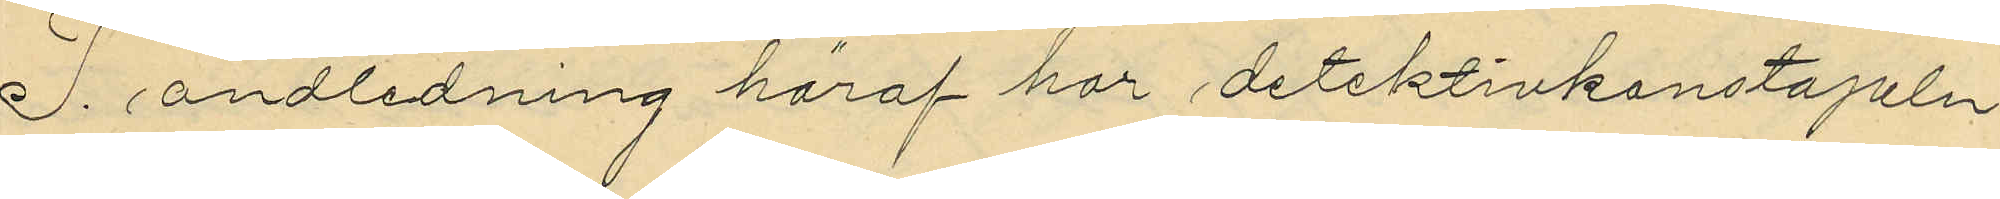I andledning häraf har detektivkonstapeln
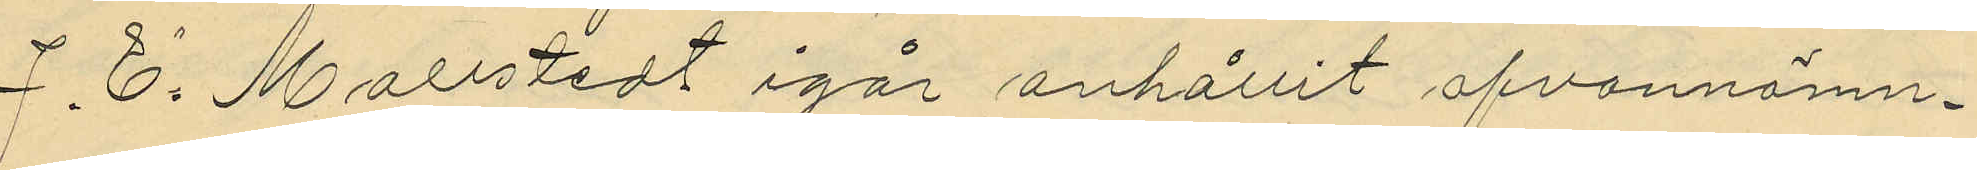J. E. Mollstedt igår anhållit ofvannämn¬
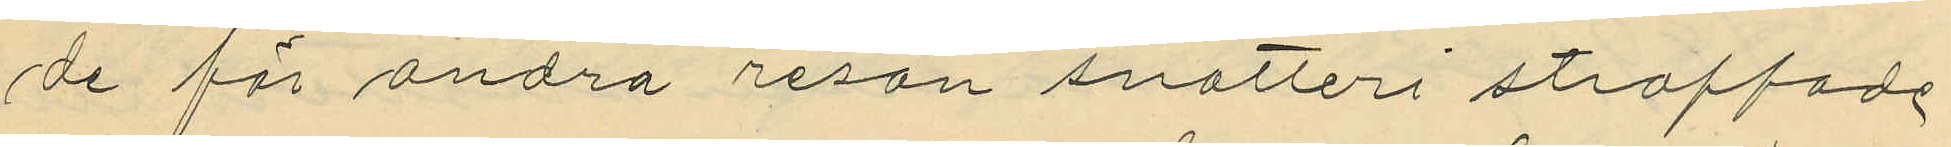de för andra resan snatteri straffade
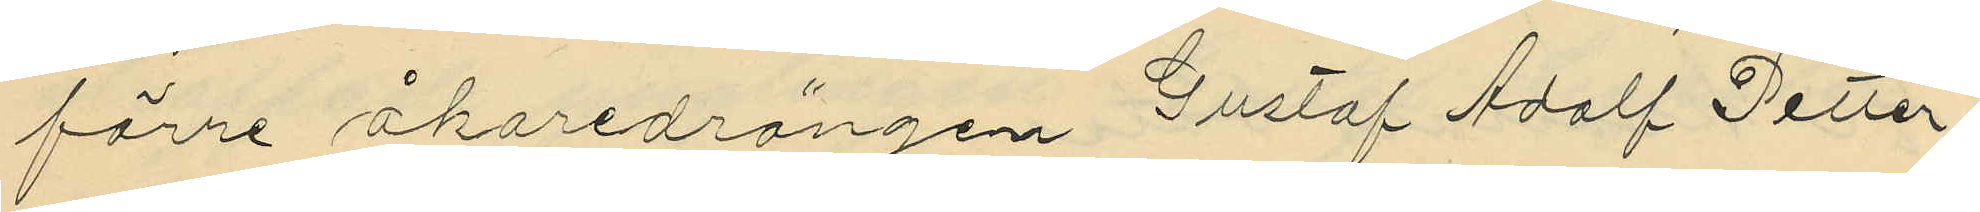förre åkaredrängen Gustaf Adolf Petter¬
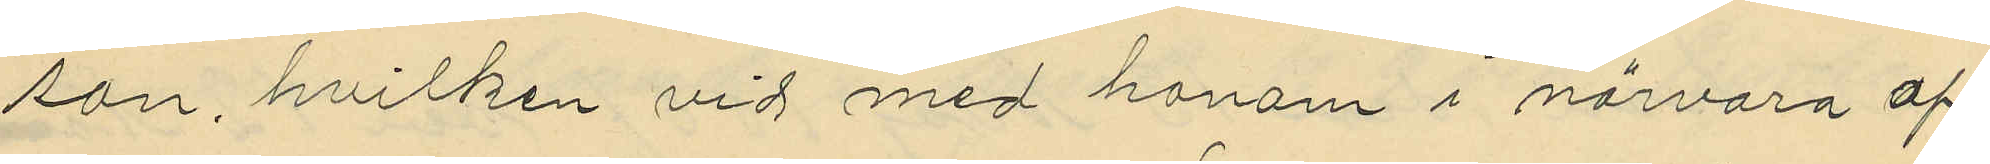son, hvilken vid med honom i närvaro af
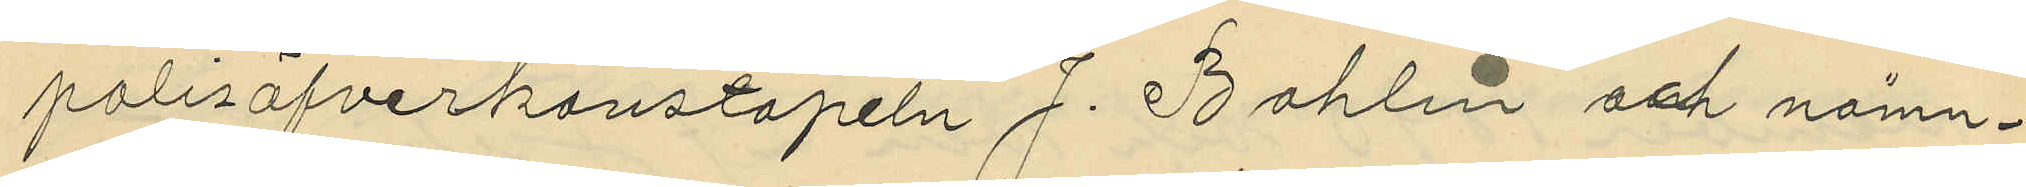polisöfverkonstapeln J. Bohlin och nämn¬
